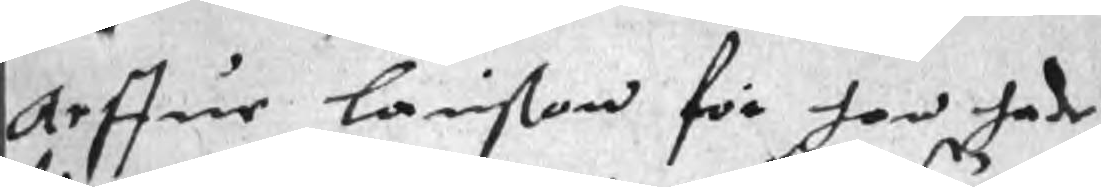Arffue Larßon för hon hade
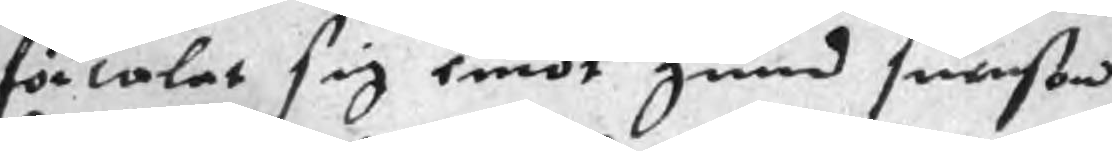förtalat sig emot gund sunßon
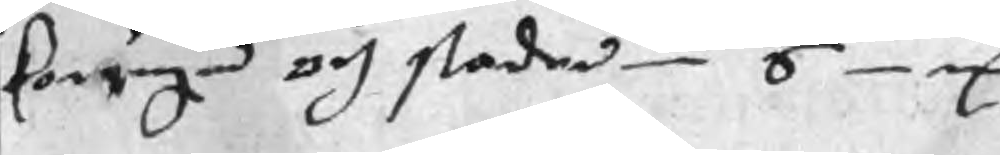konugen och staden S
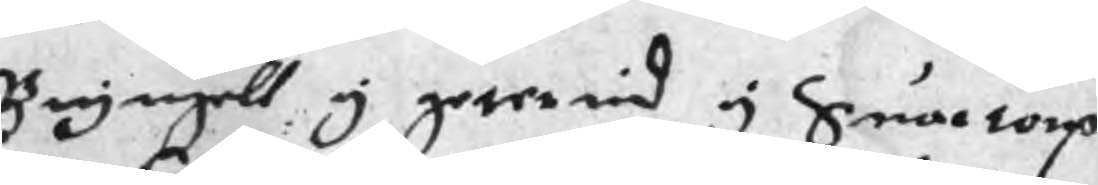Bryngell y gererid y Snärtorp
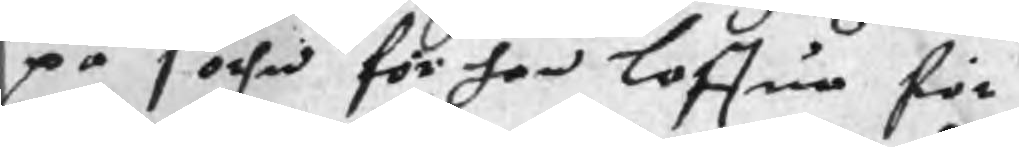på sochn för han loffua för
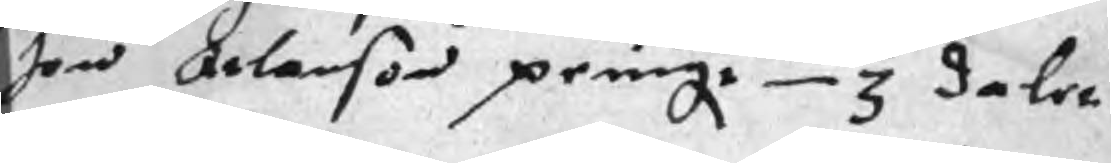Jon Arlanson peinge 3 daler
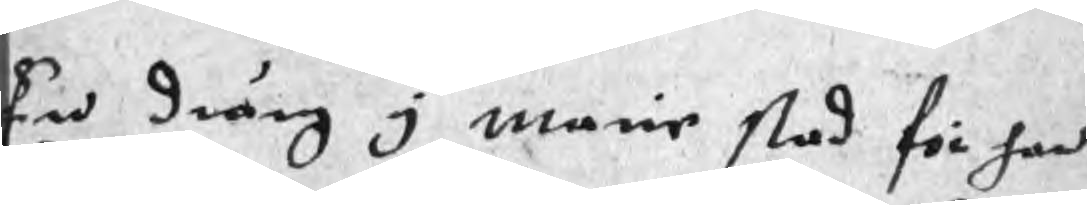En dräng i marie stad för han
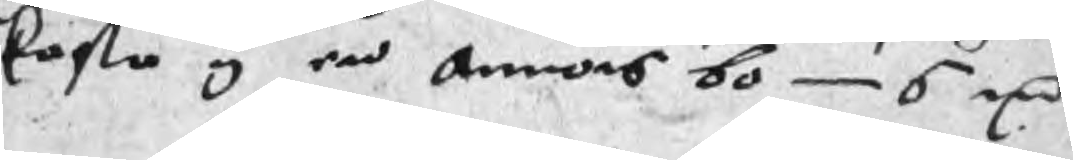kasta i en Annors bo 6 mC
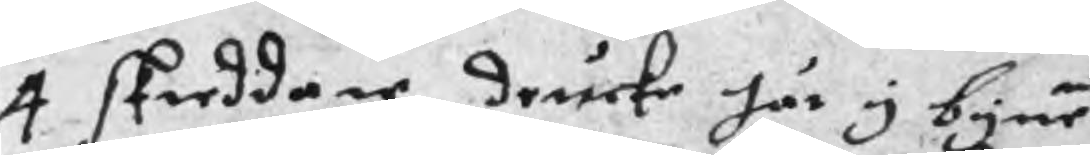4 skreddare drucke här y byne
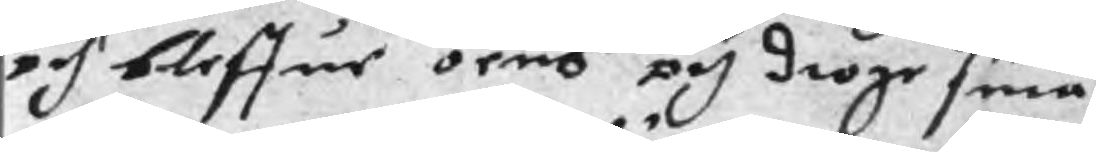oh bleffue oens och droge sina
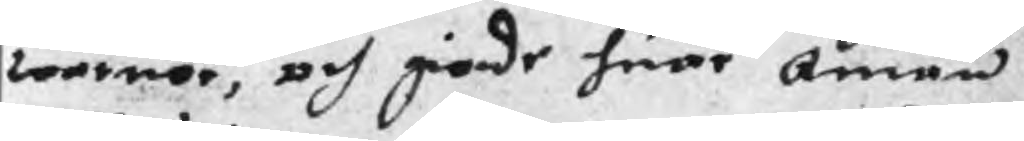wärior, och giode huar Annan
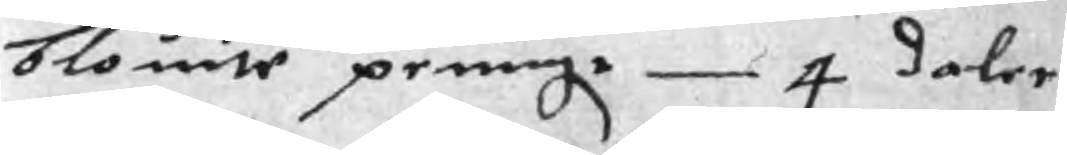blouite peningr 4 daler
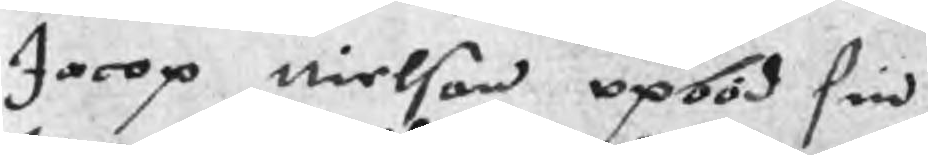Jacop Nielson opböd sin
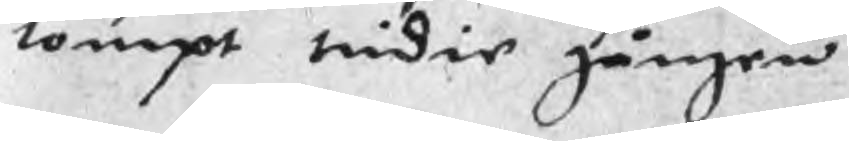tompt tridie gången
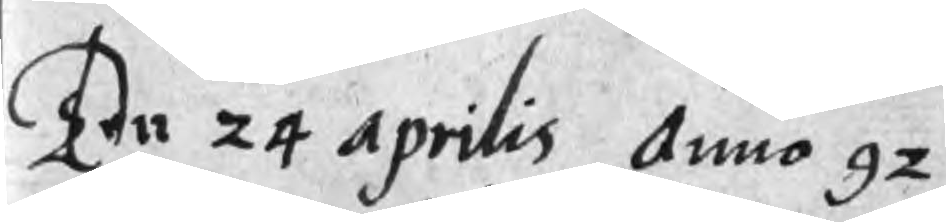Den 24 Aprilis Anno 92
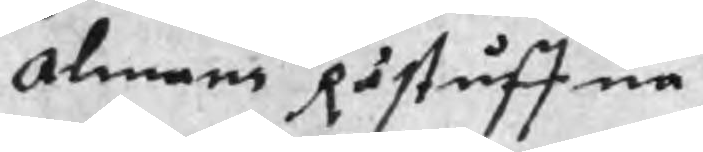Almans Råstuffua
